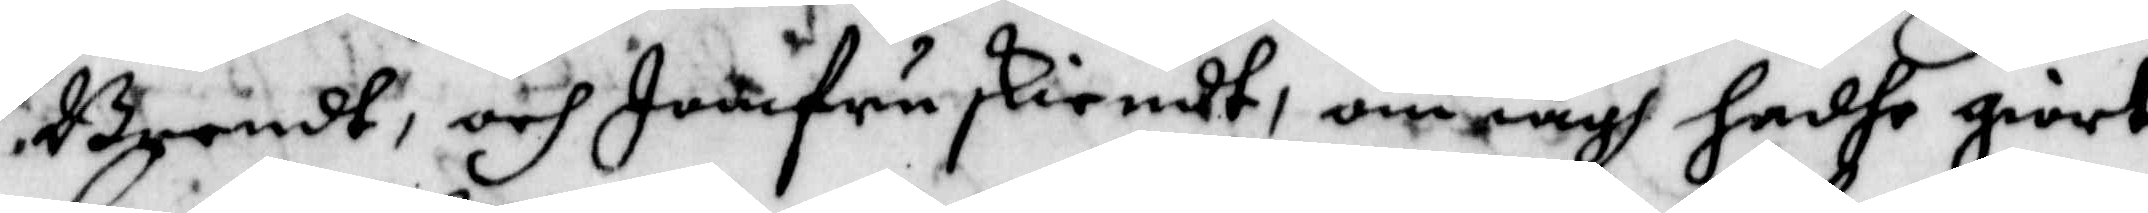Brendt, och Jumfru skiendt, om iagh hadhe giort
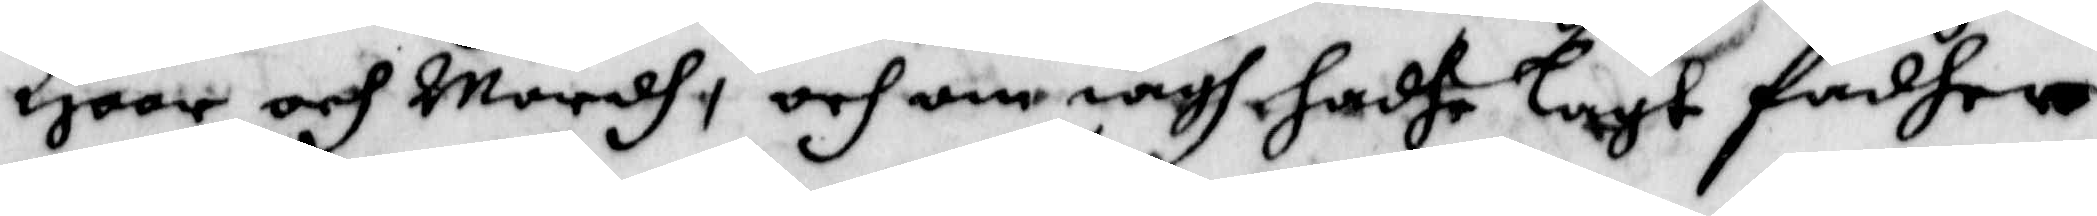Hoor och Mordh, och om iagh hadhe Lagt fadher
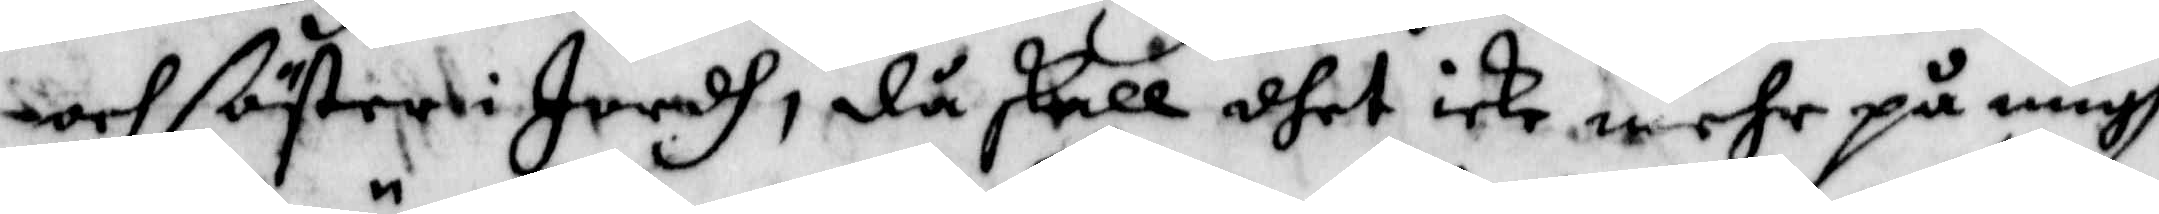och ßöster i Jordh, då skall dhet icke mehr på migh
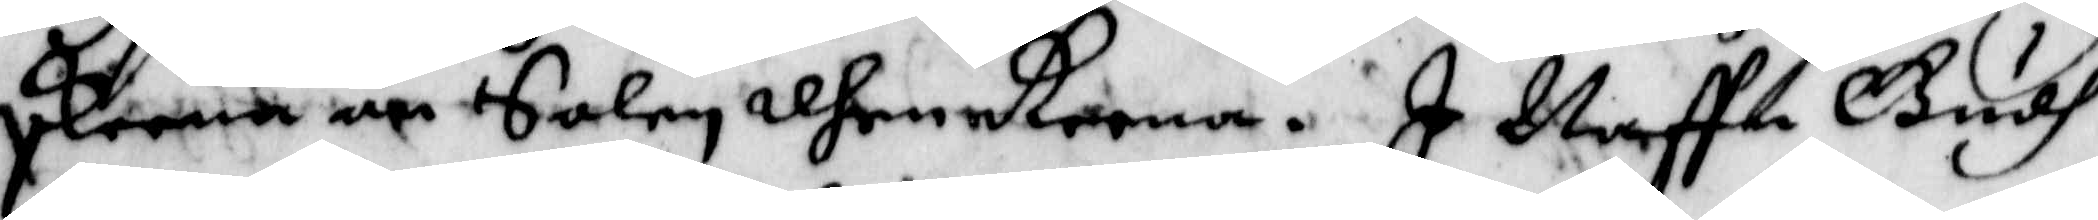skeena än Salen dhrenkoona. I Naffe Gudh
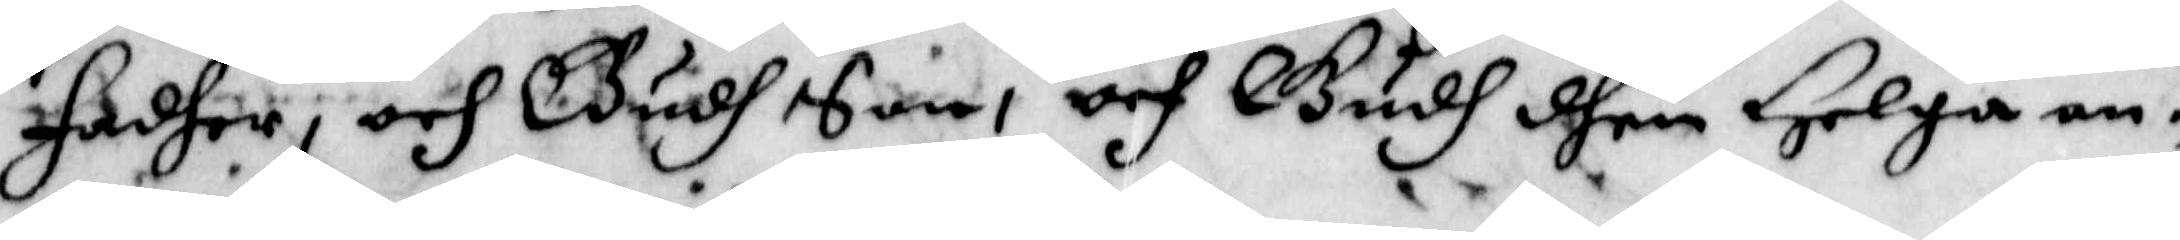Fadher, och Gudh Son, och Gudh dhen Helga an¬
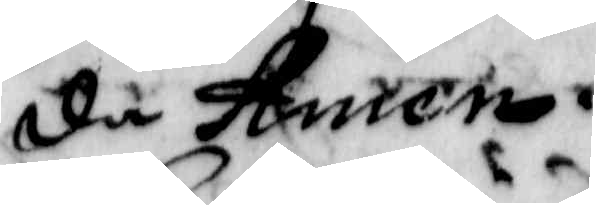de Amen.
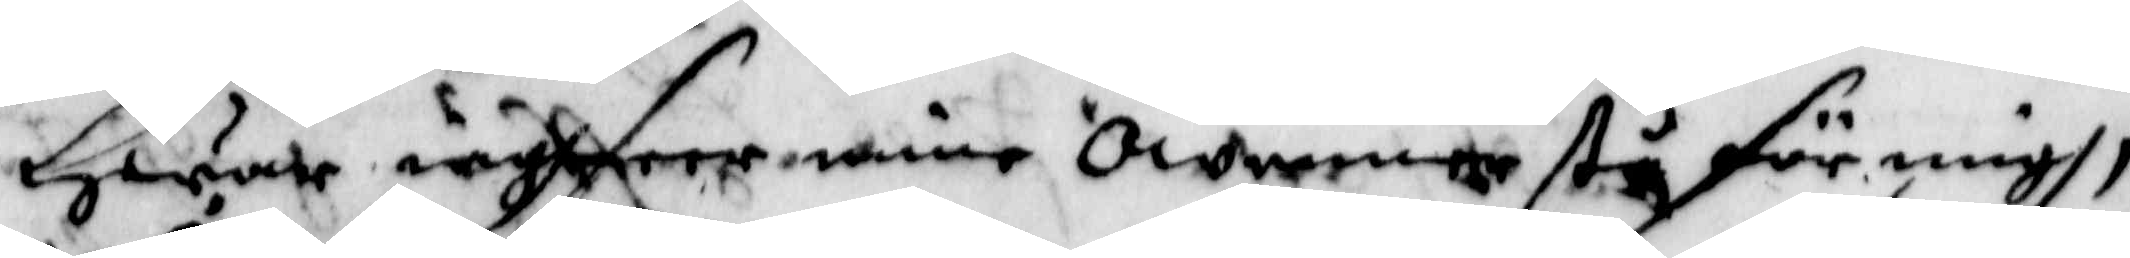Hwar wysseer mine owenner stå för migh,
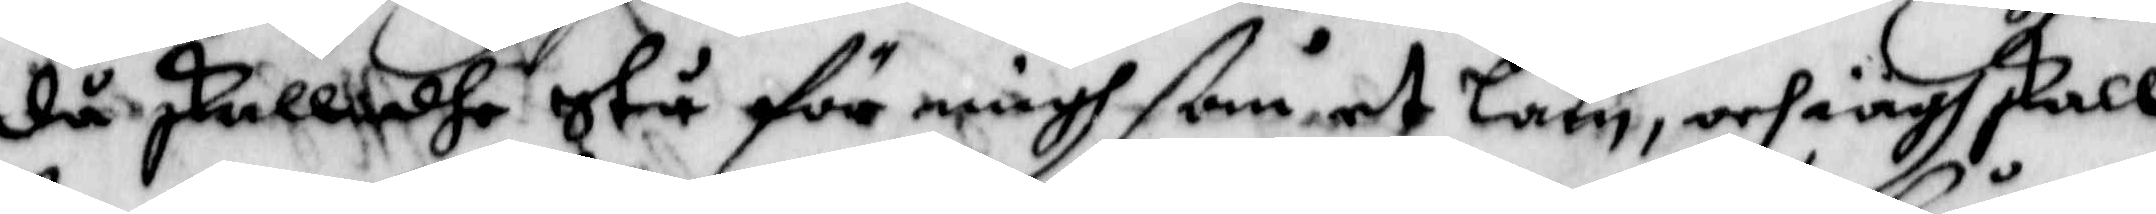då skall dhe Stå för migh ßom et Lam, och iagh skall
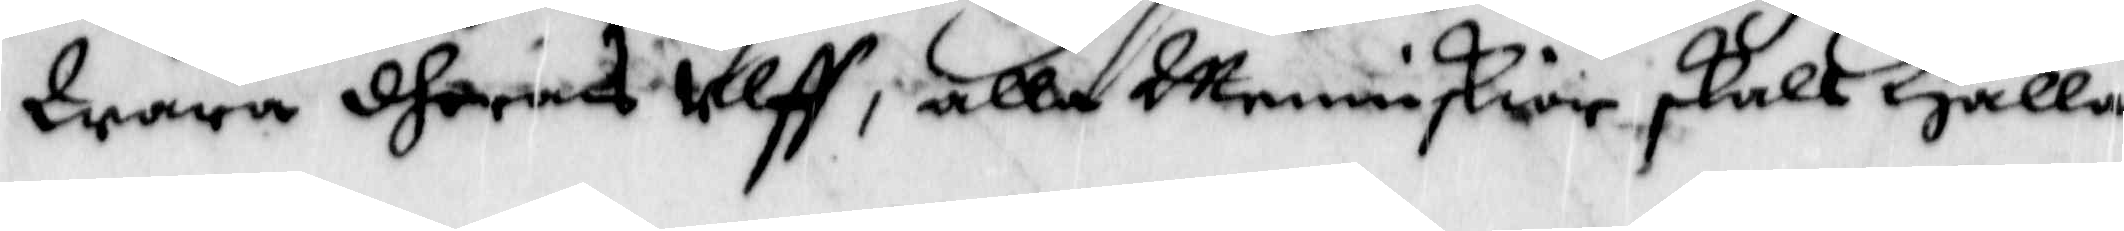Wara dheras Ulff, alla Menniskior skall Hålla
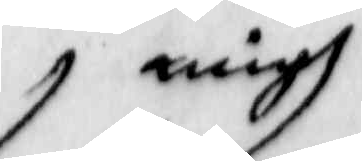migh
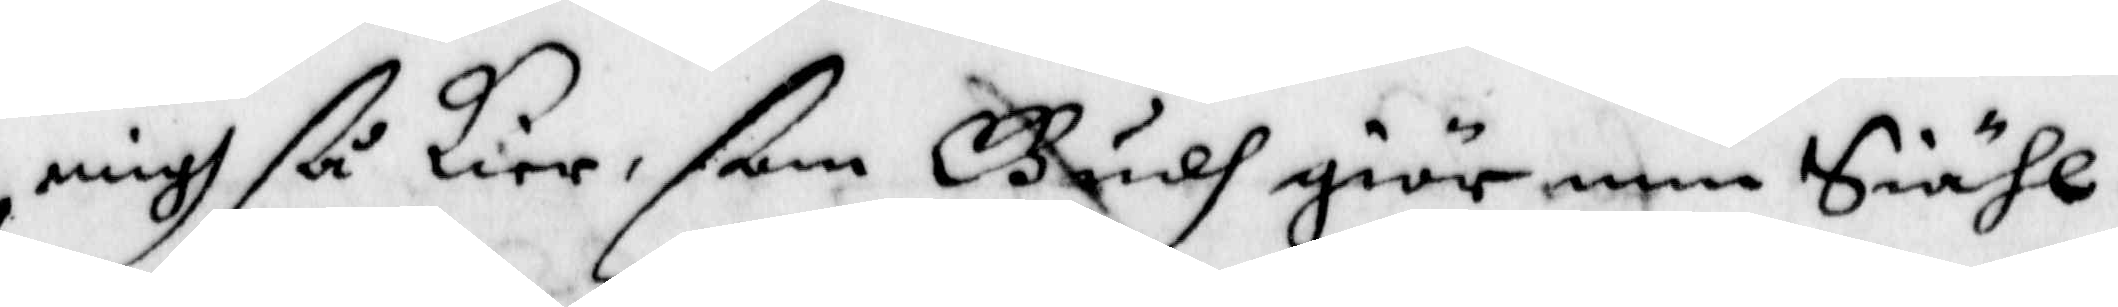migh ßå kier, som Gudh giör min Siähl.
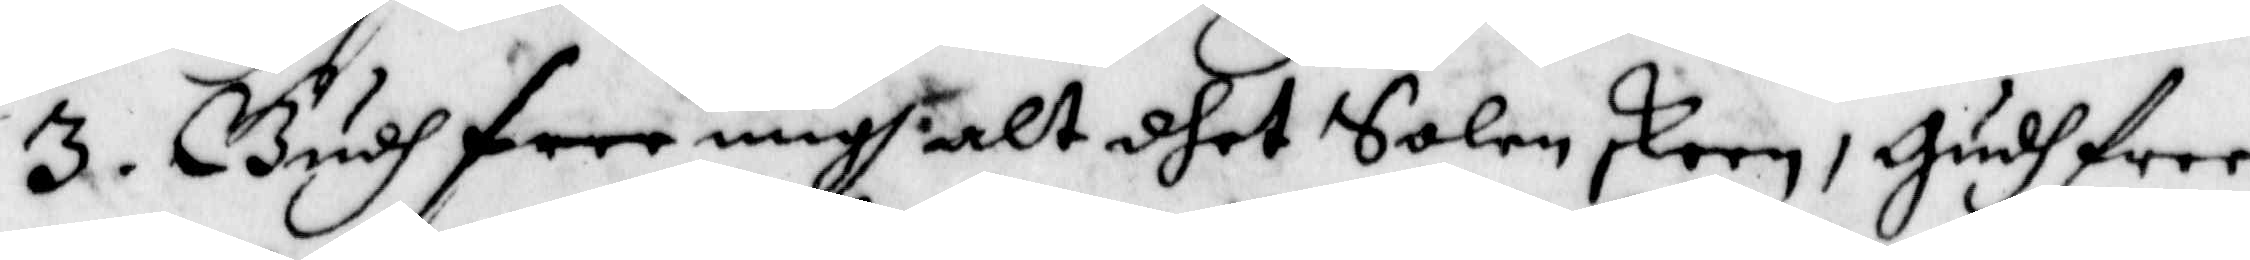3. Gudh free migh alt dhet Solen skeen, Gudh free
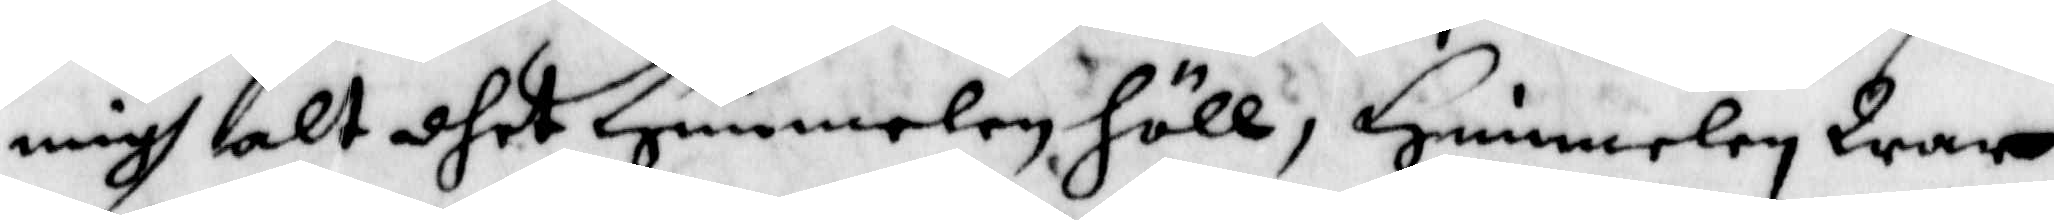migh alt dhet Himmelen höll, Himmelen War
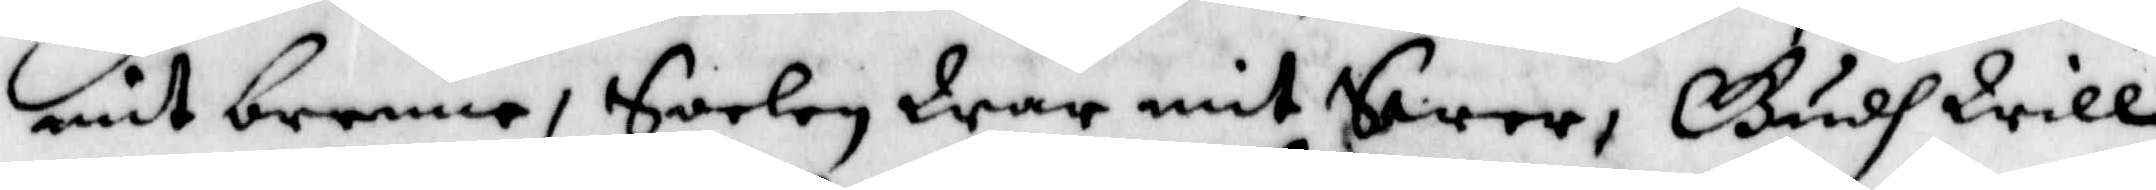mit brenne, Soelen War mit Swar, Gudh Will
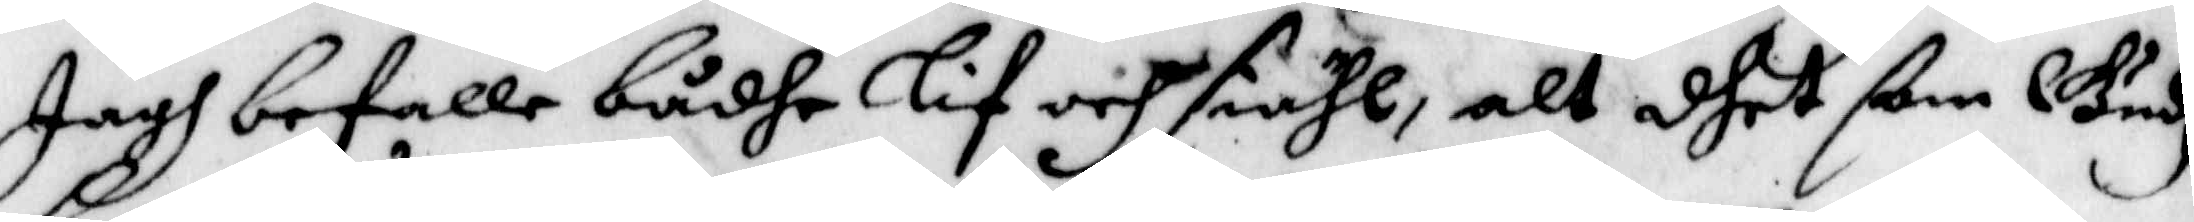Jagh befalle bådhe Lif och siähl, alt dhet ßom Gudh
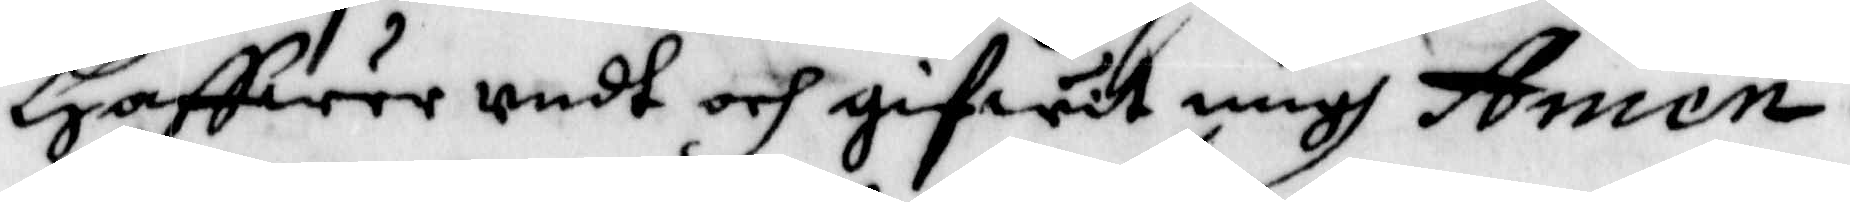Haffwer redt och gifwit migh Amen.
